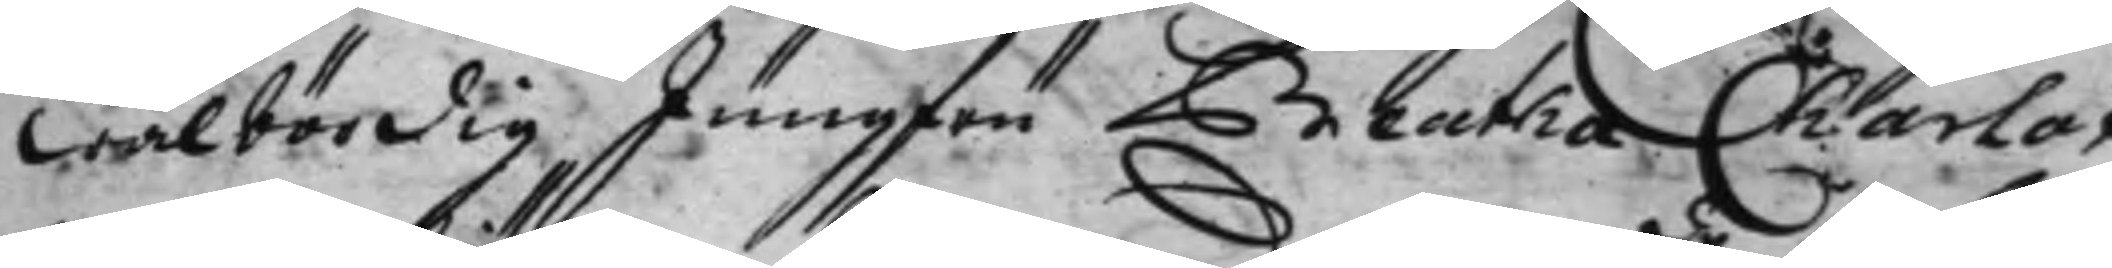wälbördig Jungfru Beatha Charlot¬
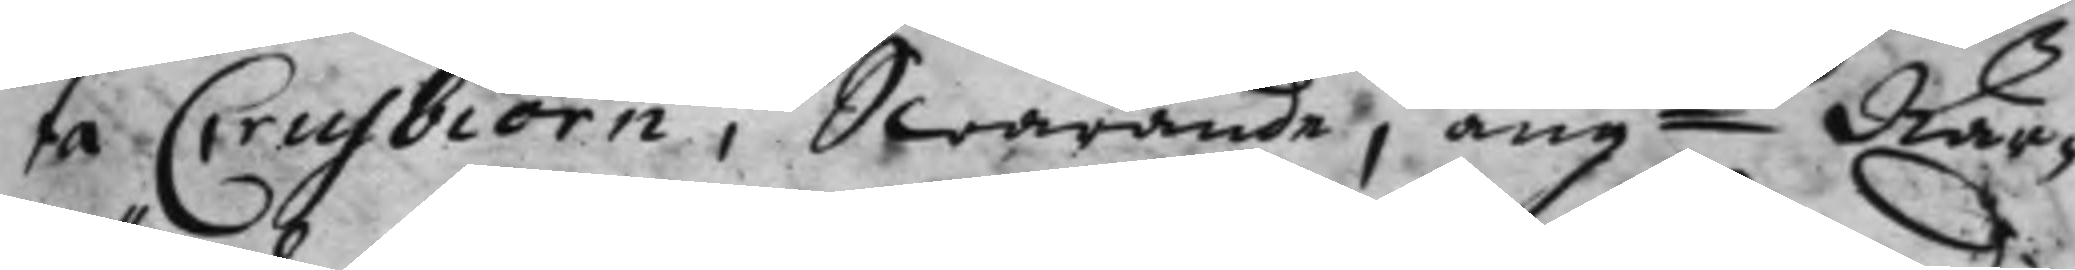ta Crusbiörn, Swarande, angde När¬ 
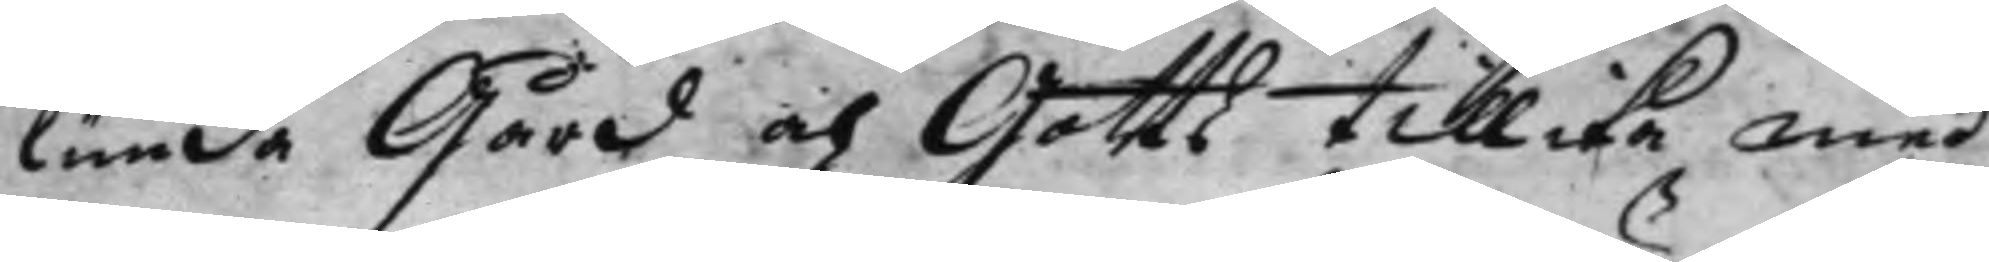lunda Gård och Gotts tillika med
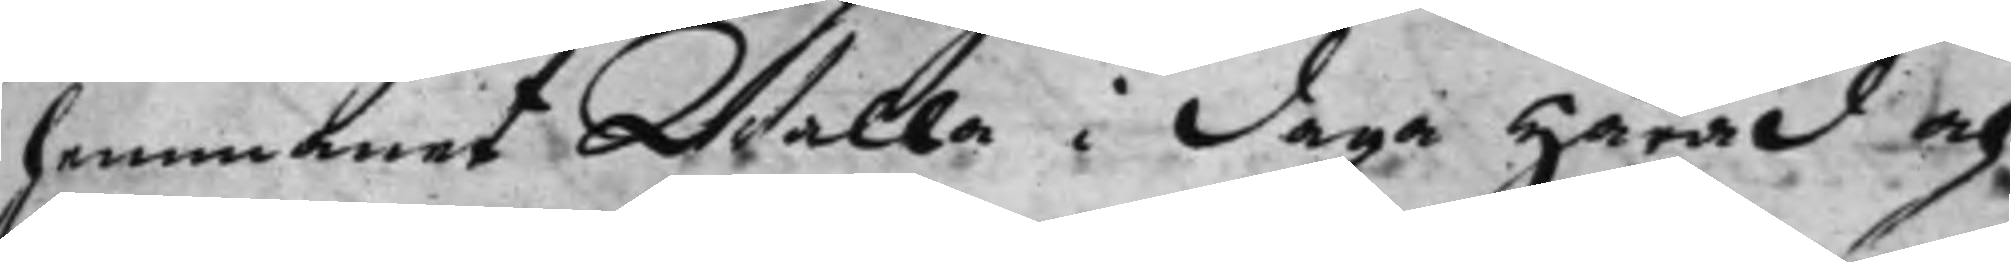hemmanet Walla i Daga Härad och
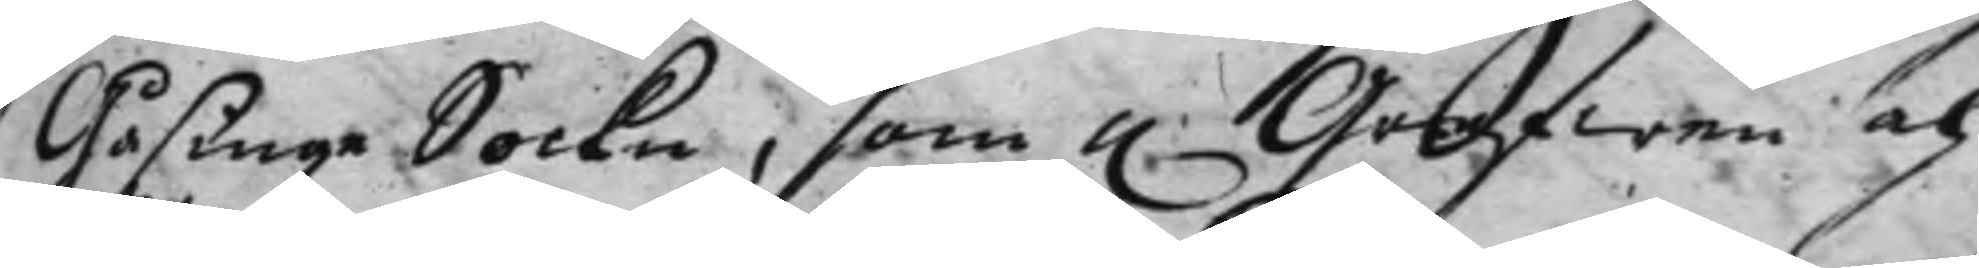Gåsinge Sockn, som h. Grefwen och 
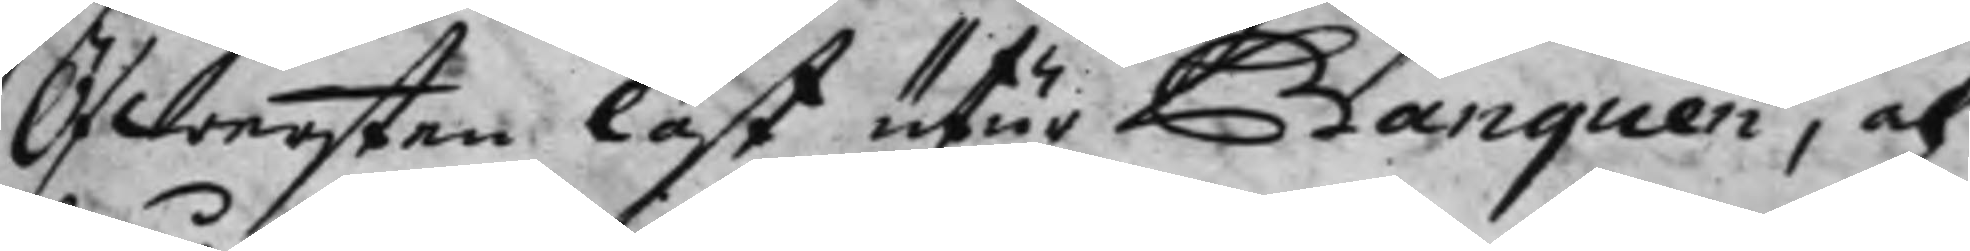Öfbersten löst utur Banquen, och
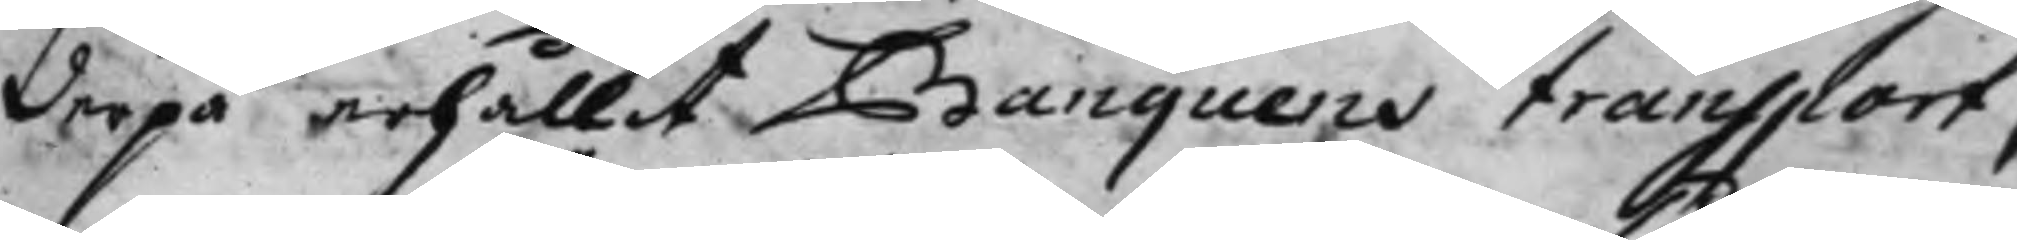derpå erhållit Banquens transport,
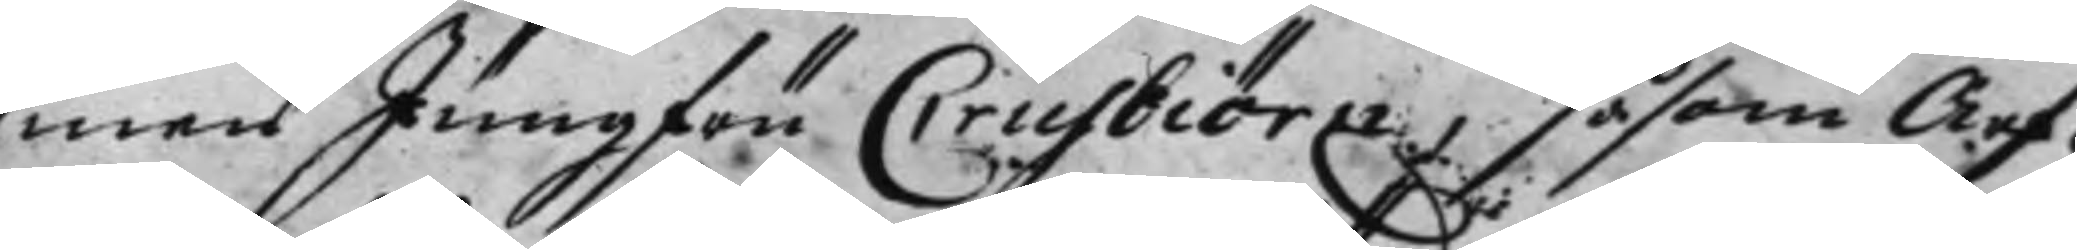men Jungfru Crusbiörrn, såsom Arf¬
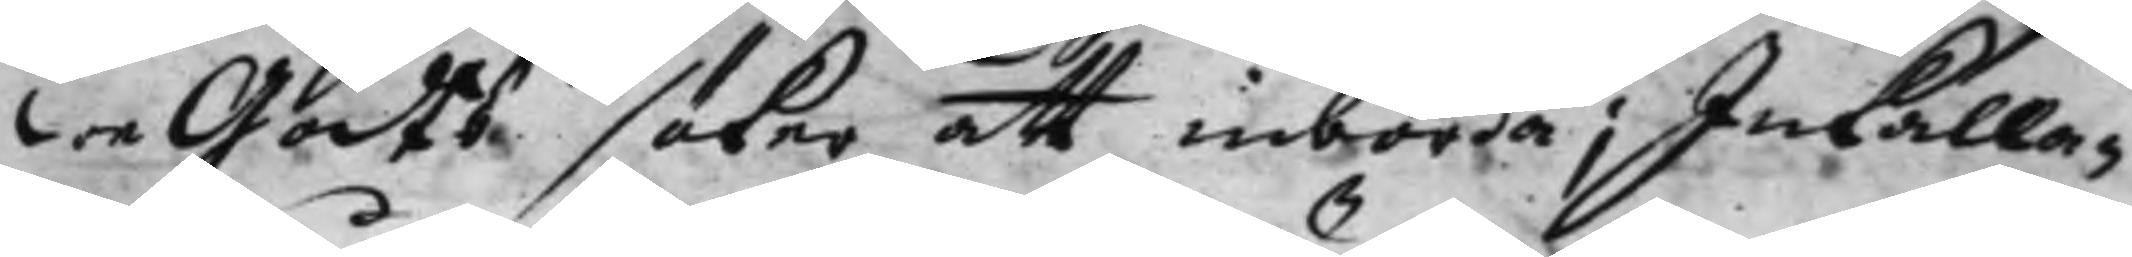weGodts söker att inbörda; Inkalla¬
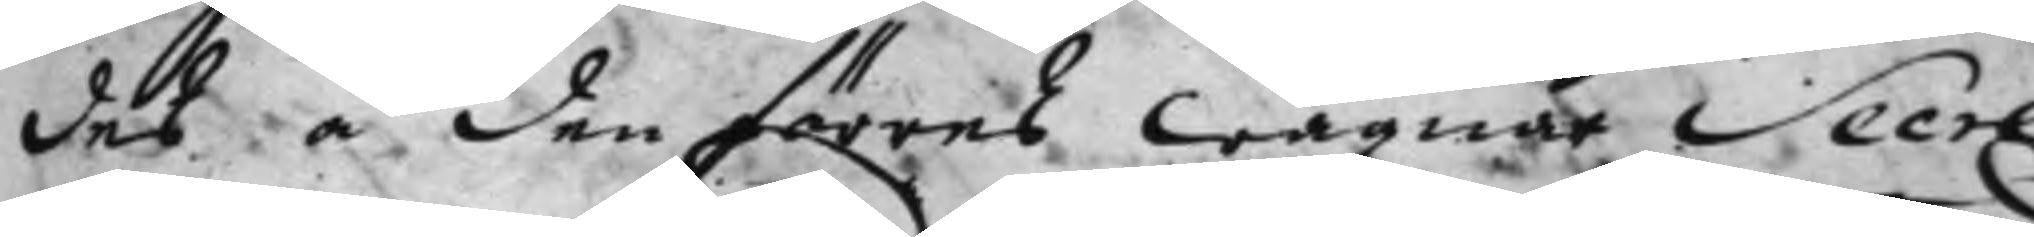des å den förras wägnar Secre¬
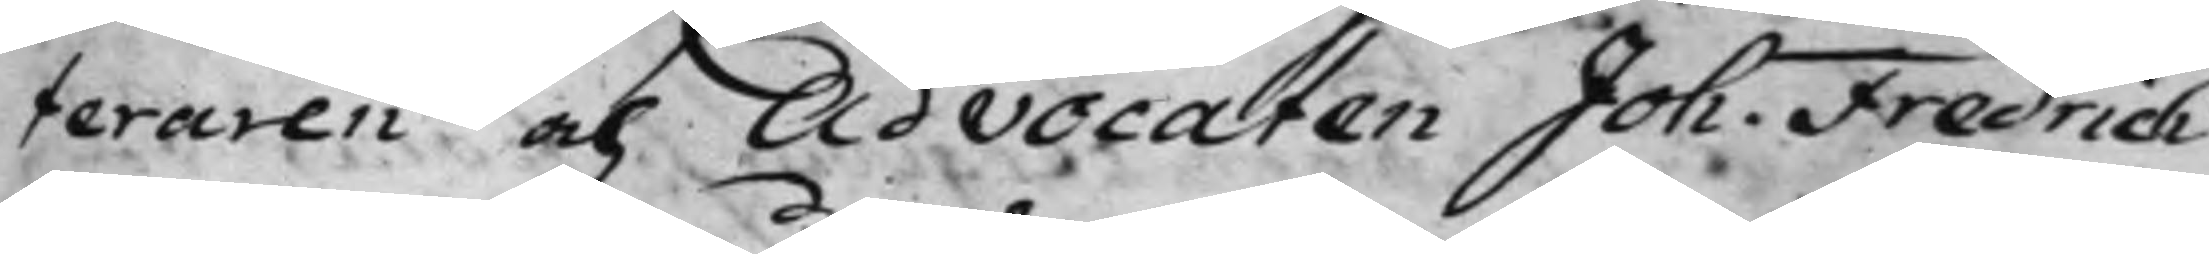teraren och Advocaten Joh. Fredrich 
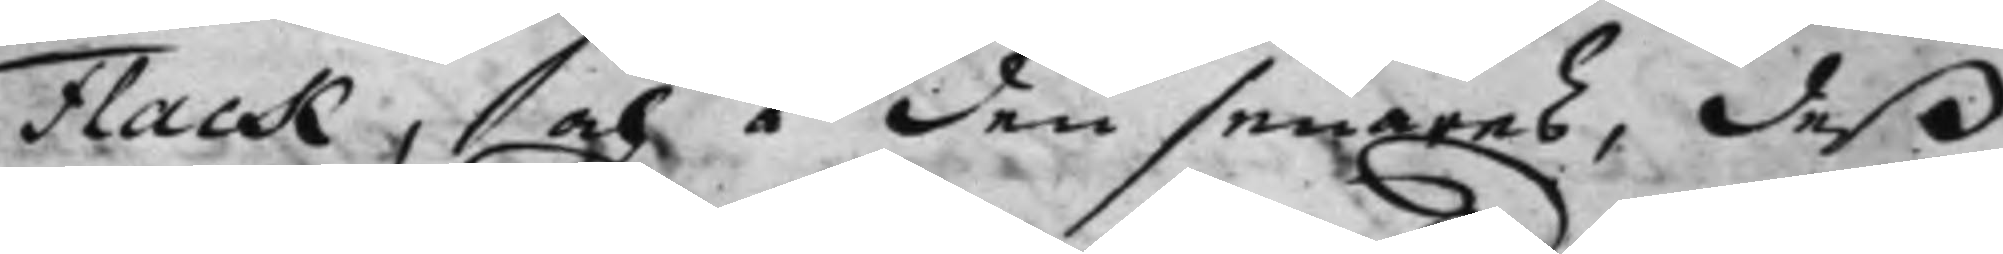Flack, och i den senares, deß
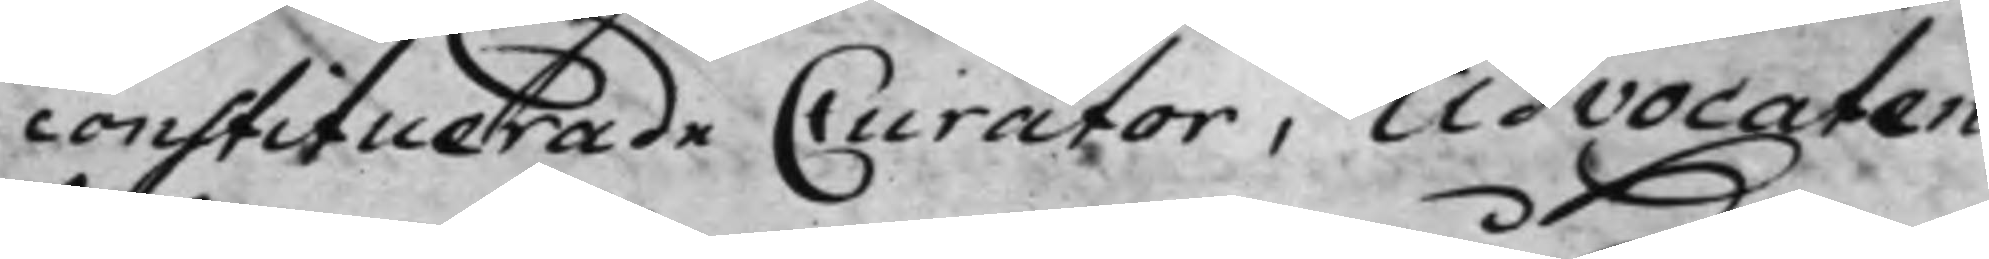constituerade Curator, Advocaten
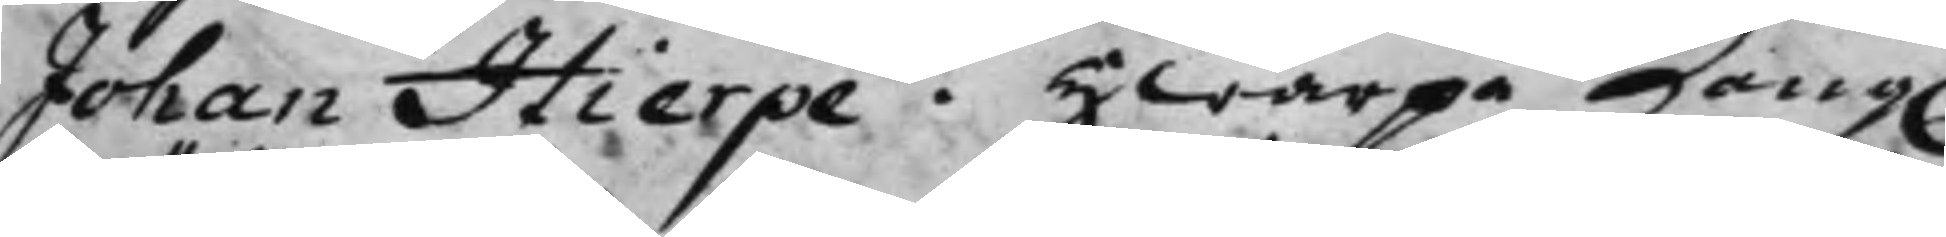Johan Hierpe. Hwarpå Kong. 
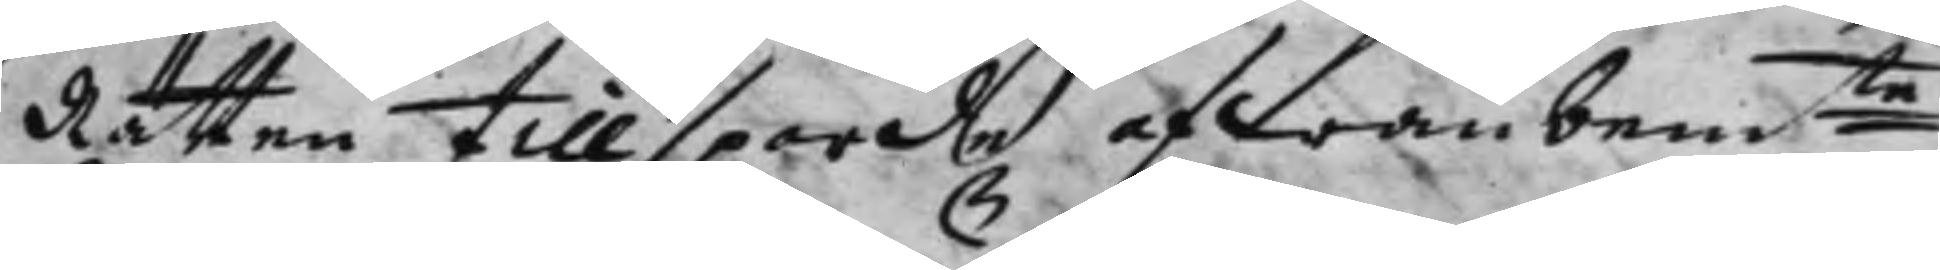Rätten tillsporde ofwanbemte 
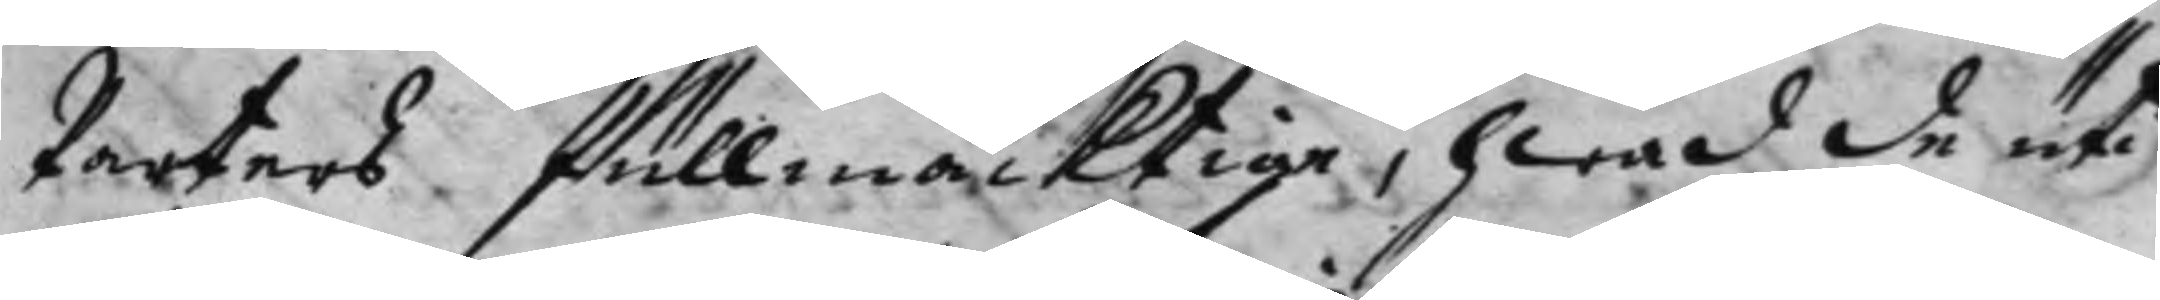Parters fullmäcktige, hwad de uti
